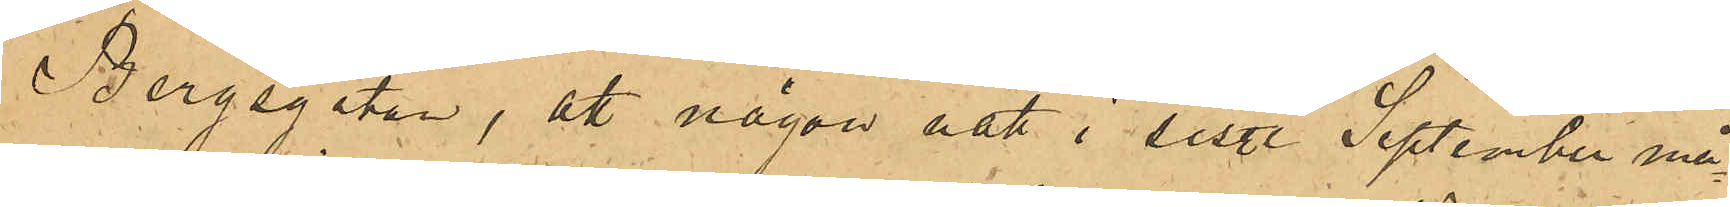Bergsgatan, att någon natt i sist. September må¬
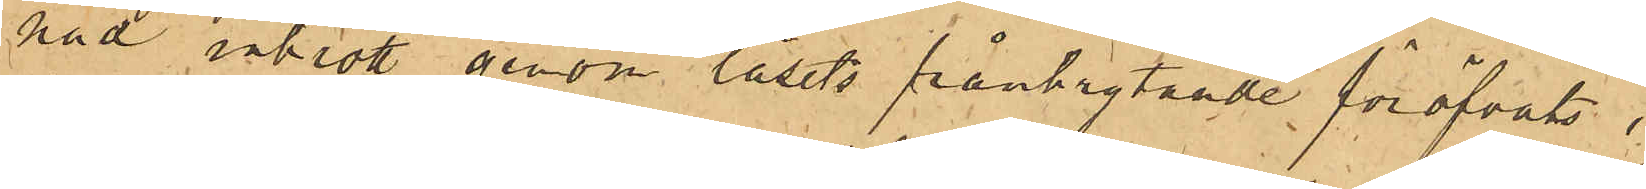nad inbrott genom låsets frånbrytande föröfvats i
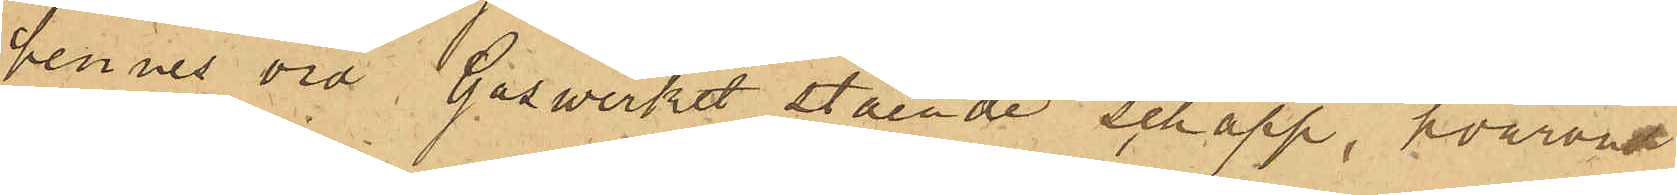hennes vid Gaswerket stående schapp, hvarvid
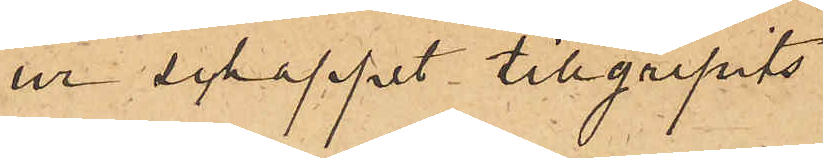ur schappet tillgripits
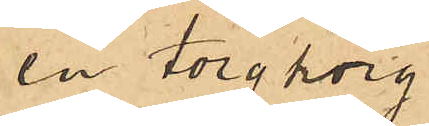en torgkorg
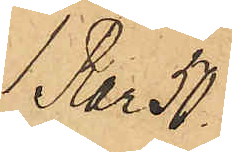1 Rdr 50
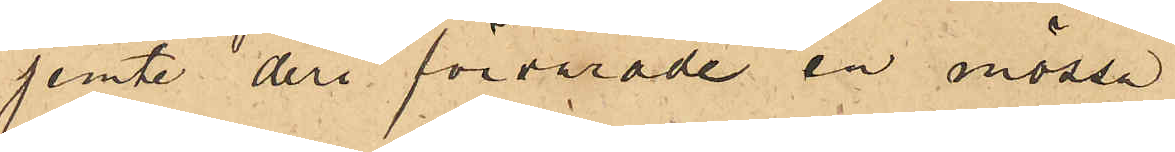jemte deri förvarade en mössa
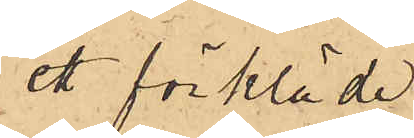ett förkläde
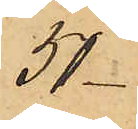50
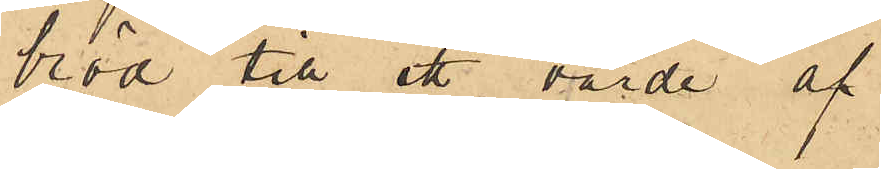bröd till ett värde af
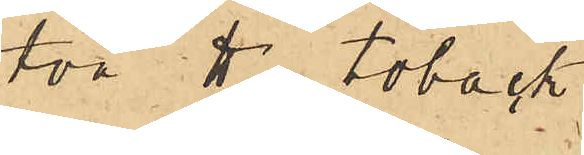två ℔ tobak
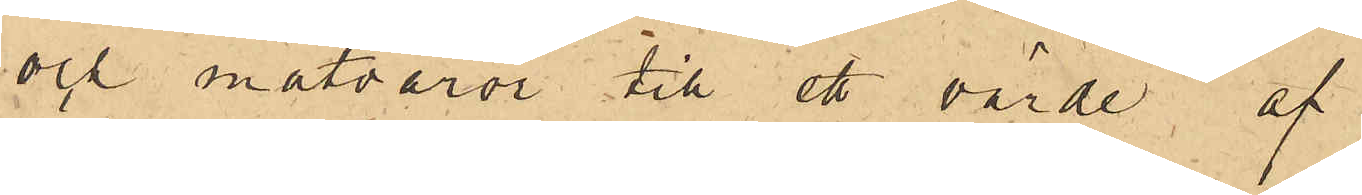och matvaror till ett värde, af
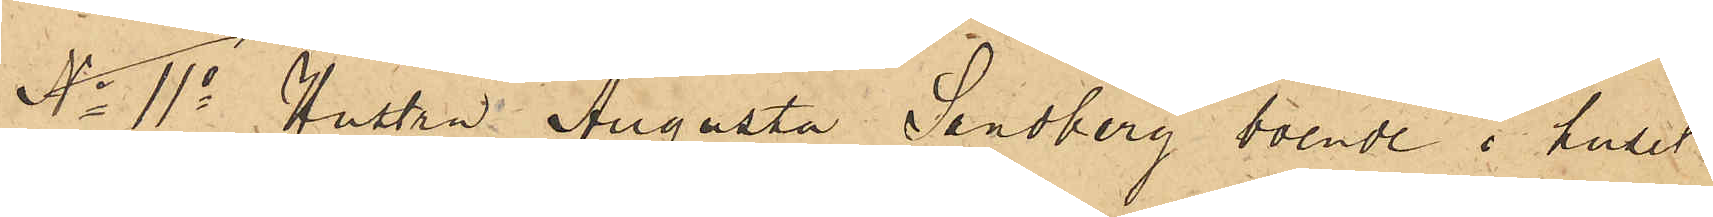No 11o Hustru Augusta Sandberg boende i huset
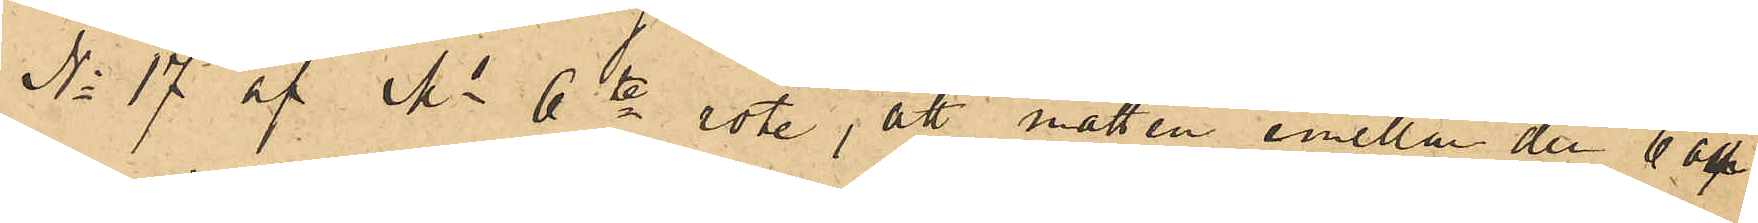No 17 af Ms 6te rote, att natten emellan den 6 och
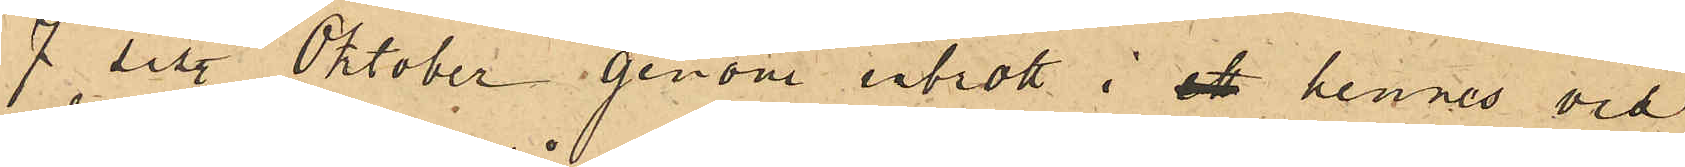7 sist. Oktober genom inbrott i ett hennes vid
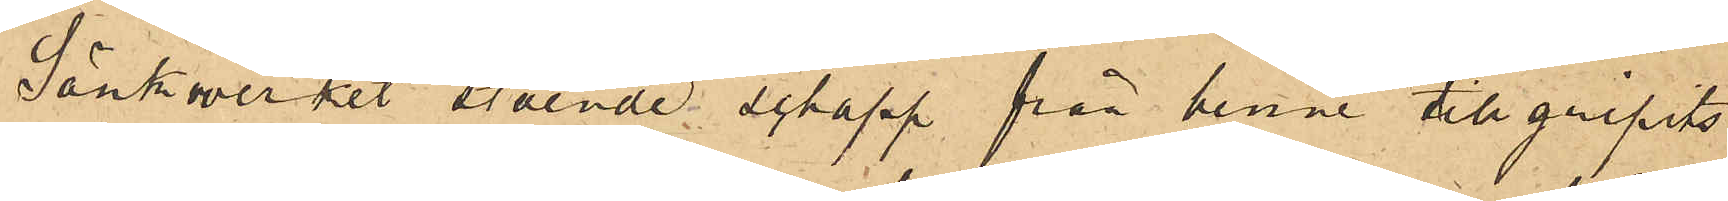Sänkwerket stående schapp från henne tillgripits
